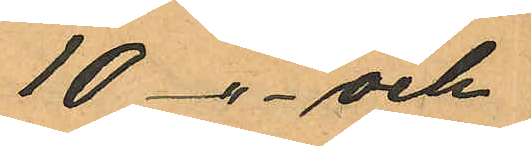10 -"- och
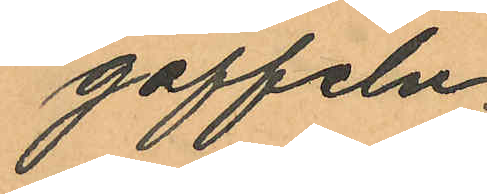gaffeln.
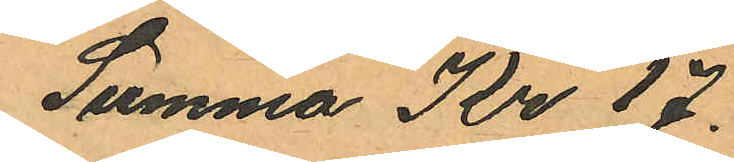Summa Kr 17.
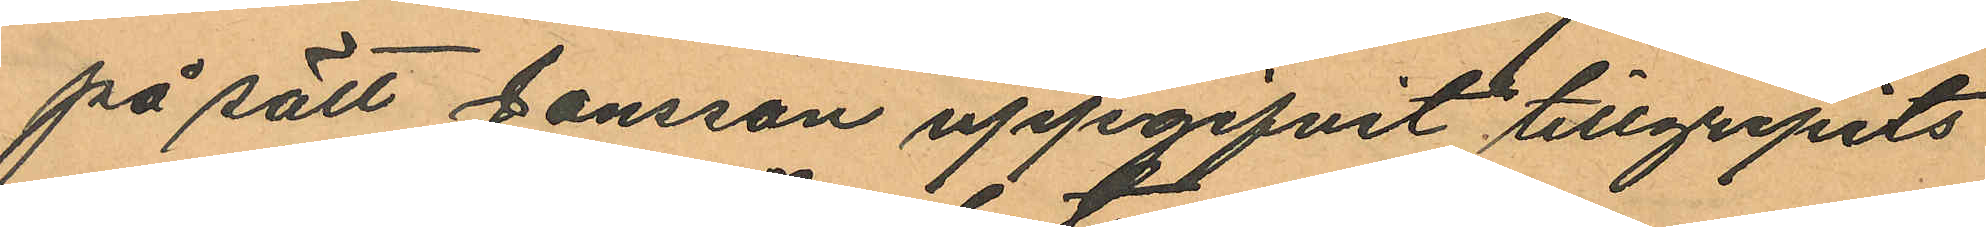på sätt Jonsson uppgifvit tillgripits
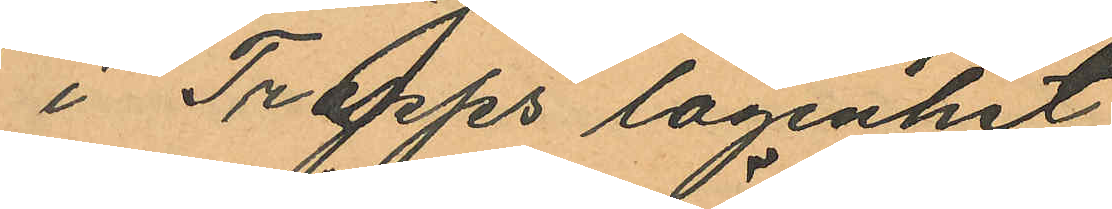i Trapps lägenhet
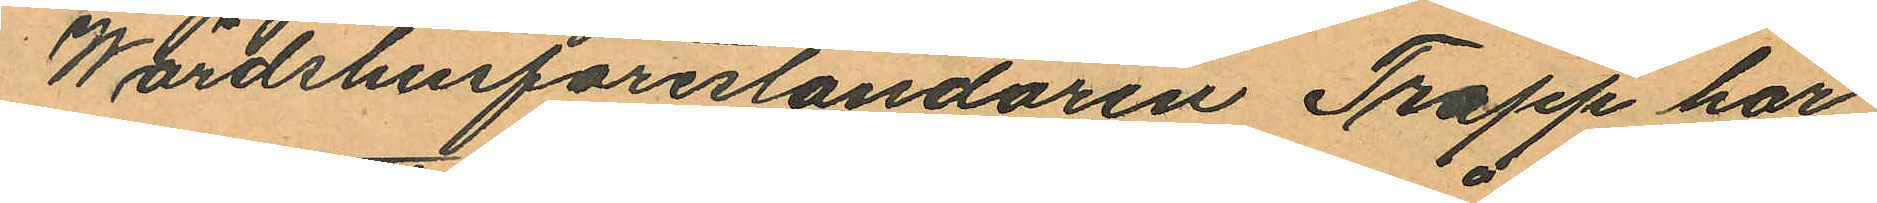Wärdshusföreståndaren Trapp har
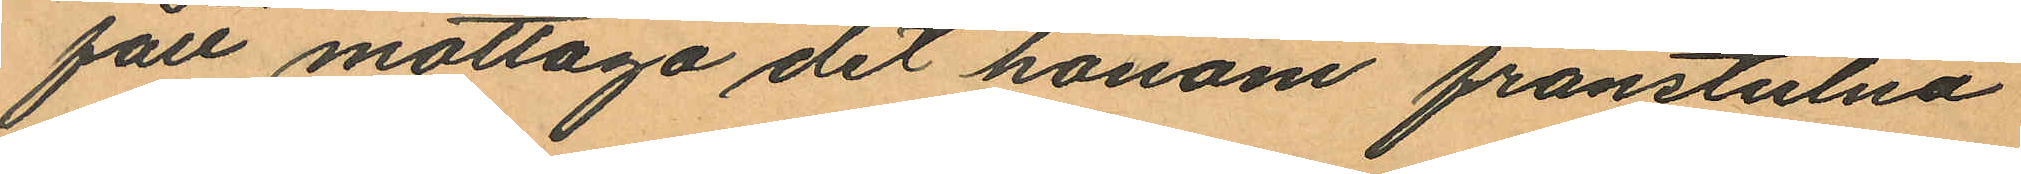fått mottaga det honom frånstulna
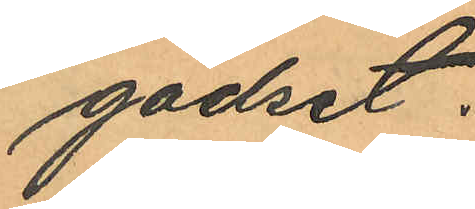godset.
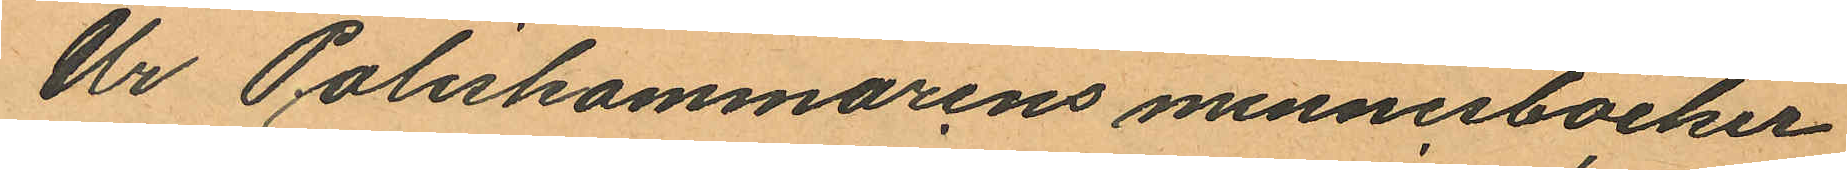Ur Poliskammarens minnesböcker
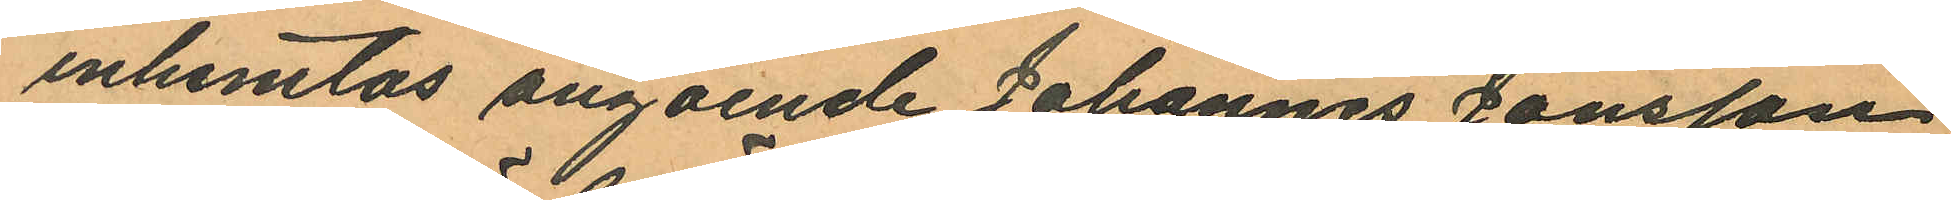inhemtas angående Johannes Jonsson
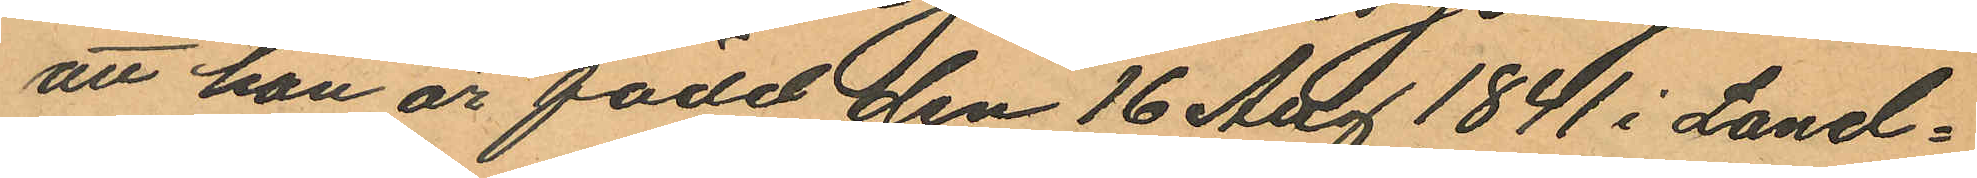att han är född den 16 Aug 1841 i Land¬
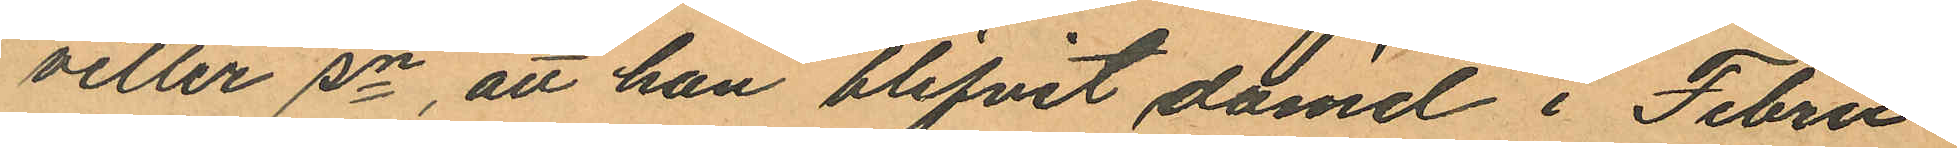vetter sn, att han blifvit dömd i Febru¬
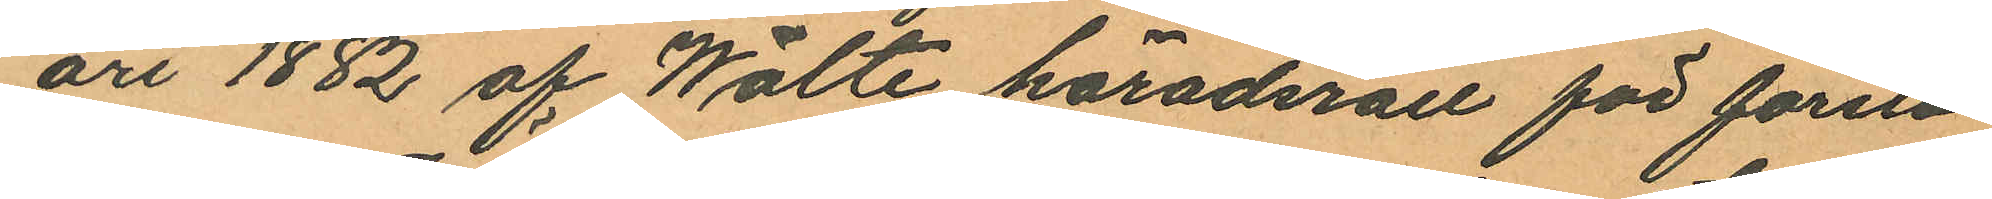ari 1882 af Wälte häradsrätt för första
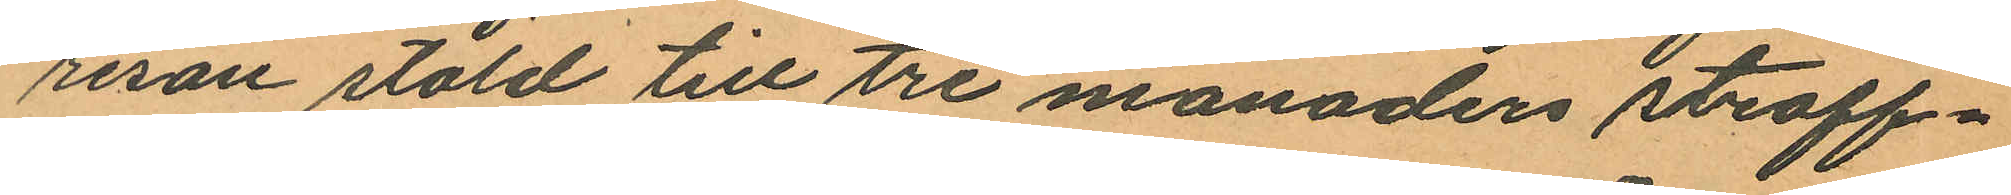resan stöld till tre månaders straff¬
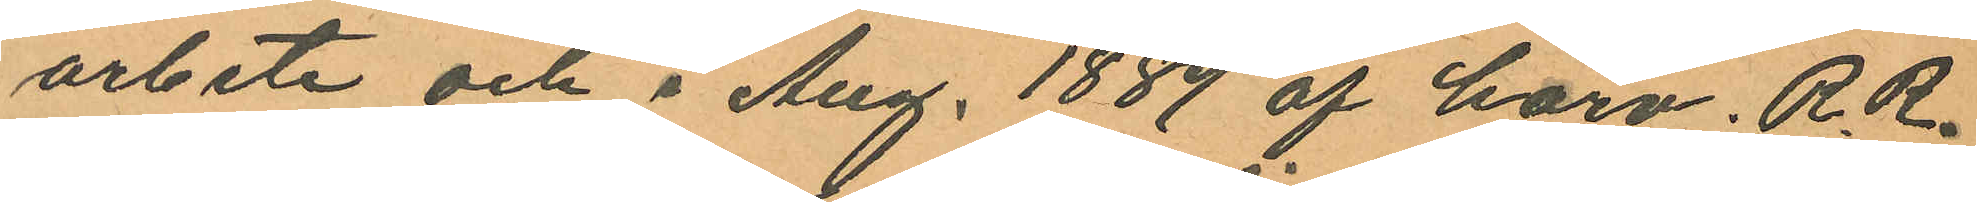arbete och i Aug. 1889 af härv. R.R.
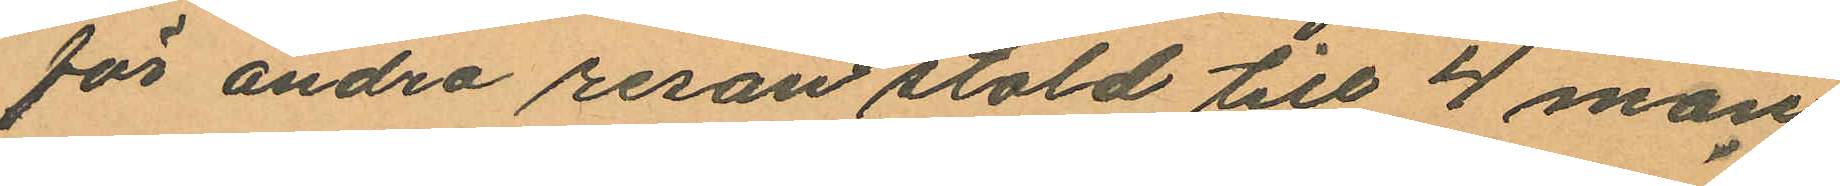för andra resan stöld till 4 mån
